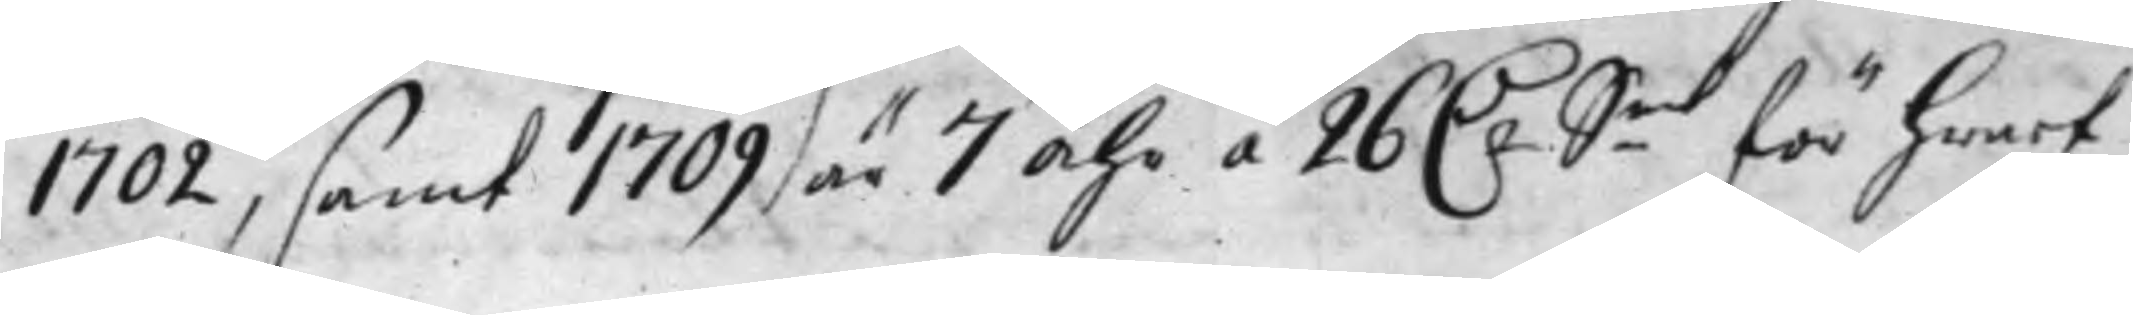1702, samt 1709 är 7 Åhr á 26 D:r S.mt för hwart
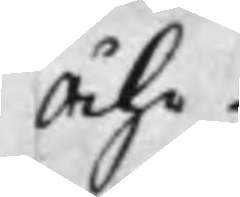Åhr
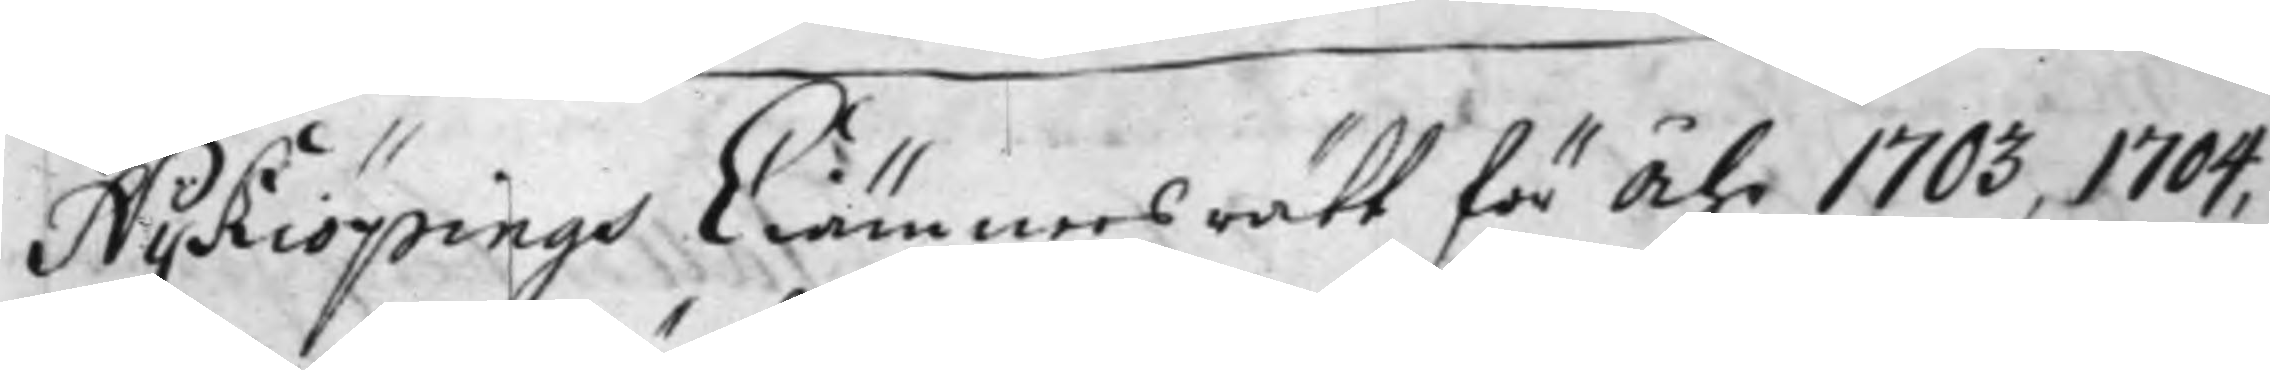Nykiöpings CIiämnärs rätt för Åhr 1703, 1704,
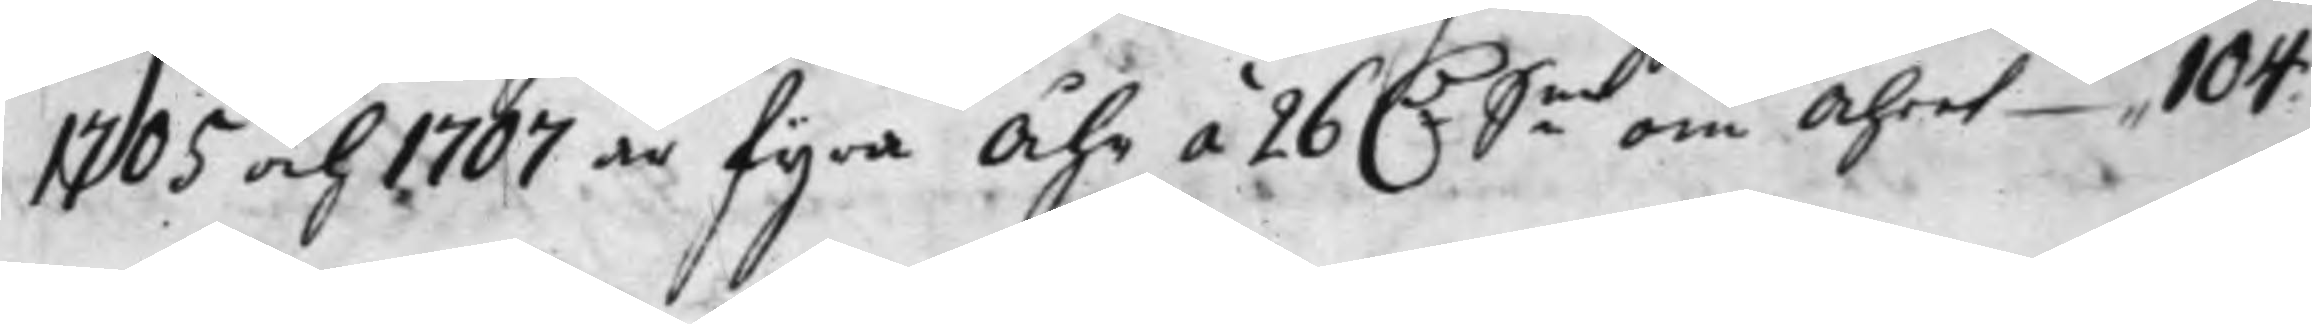1705 och 1707 är fyra Åhr á 26 D:r S:mt om Åhret 104
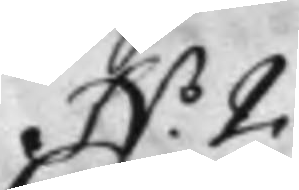N.o 2.
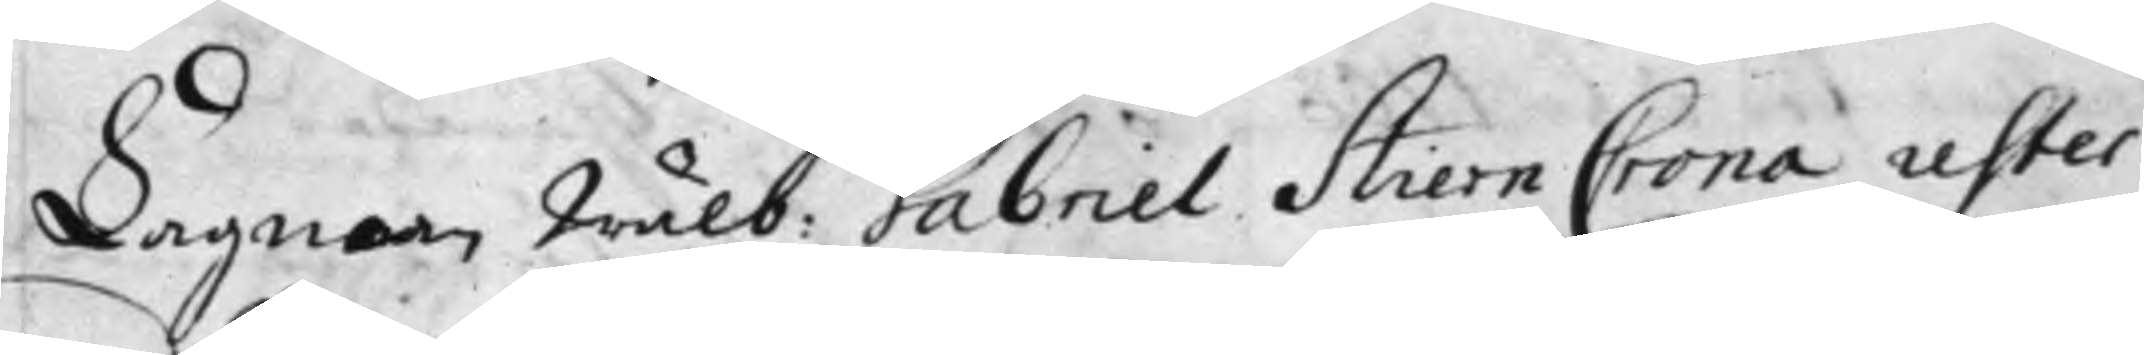Lagman Wälb: Gabriel StiernCrona rester
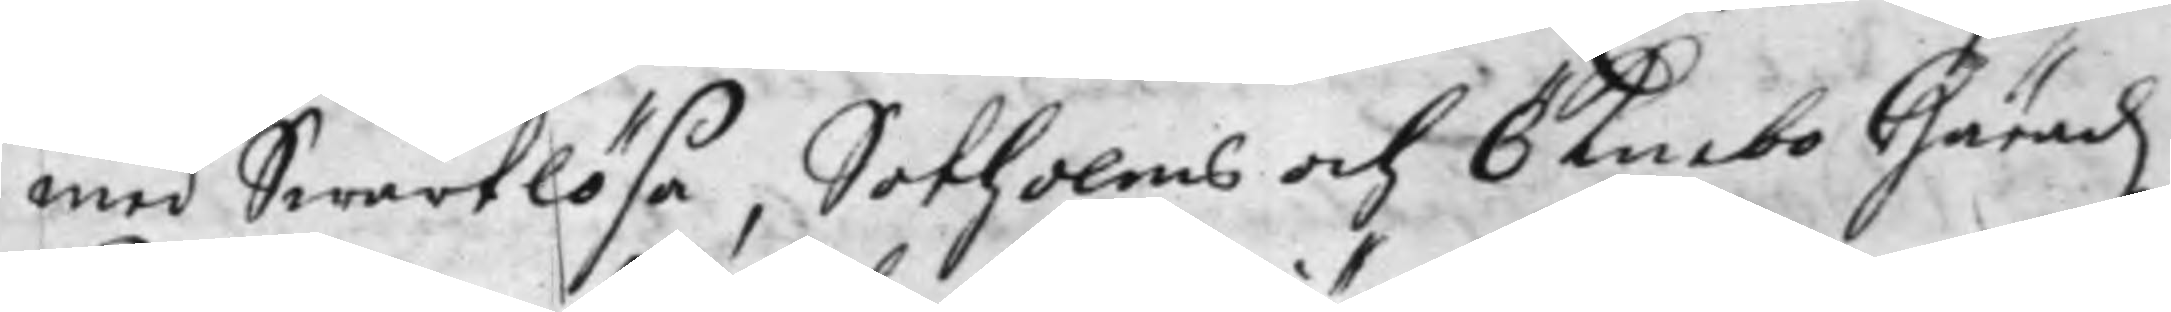med Swartlösa, Sotholms och Öknebo Häradz
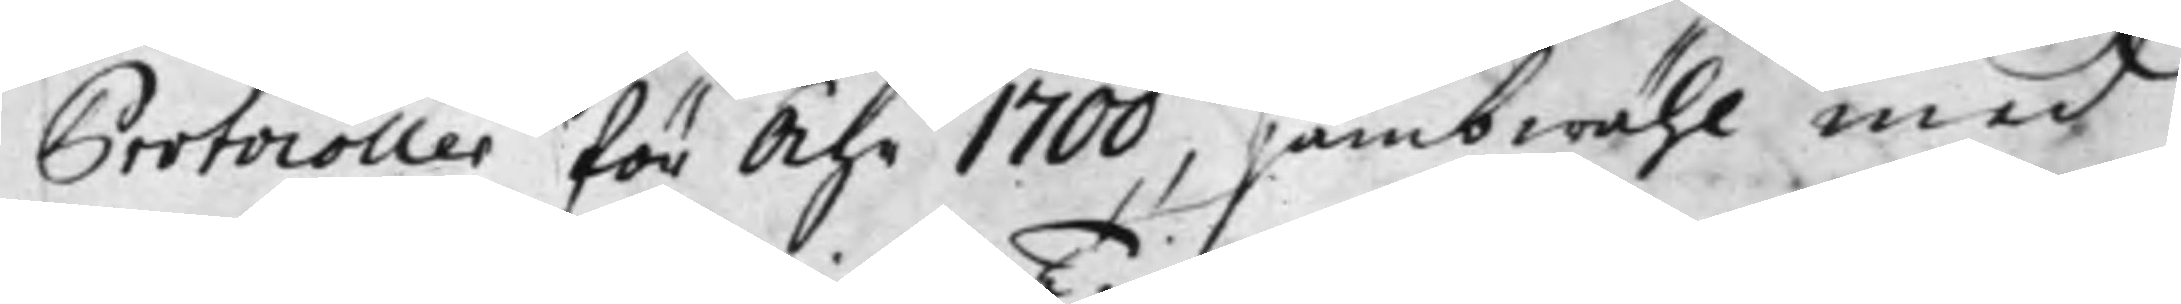Protocoller för Åhr 1700, jämbwähl med
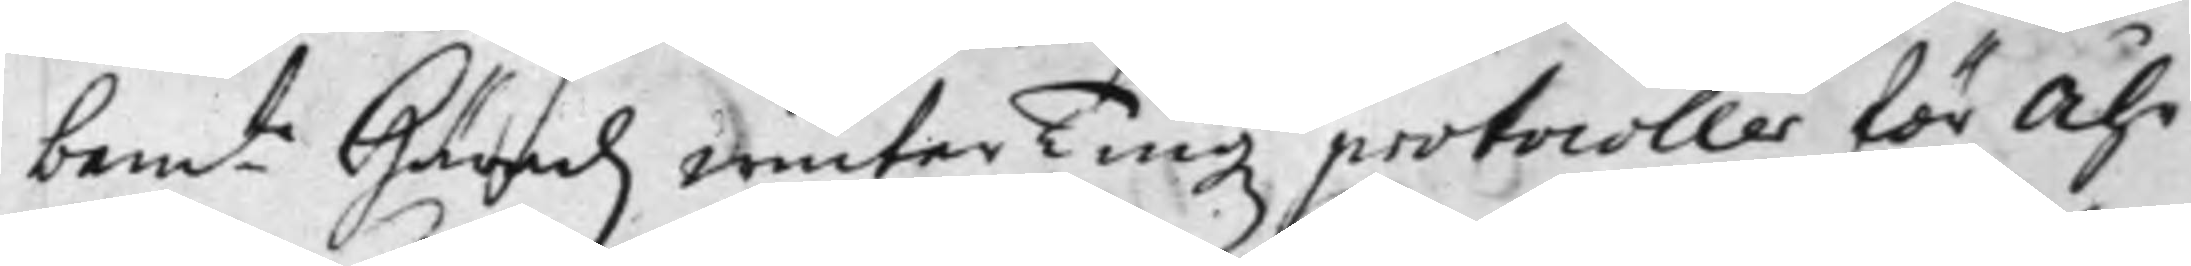bem:te Häradz winterTingz protocoller för Åhr
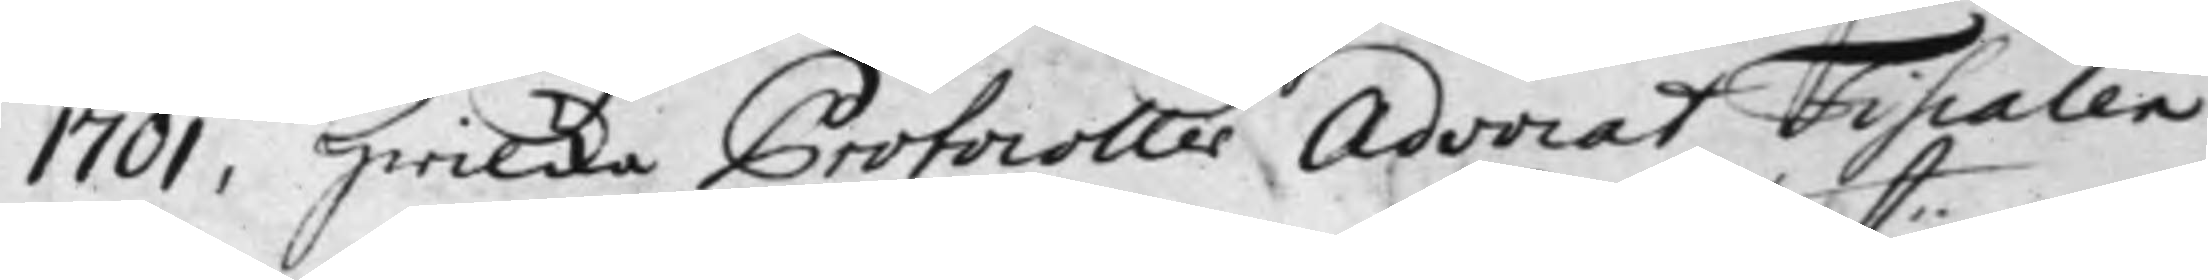1701, hwilcka Protocoller Advocat Fiscalen
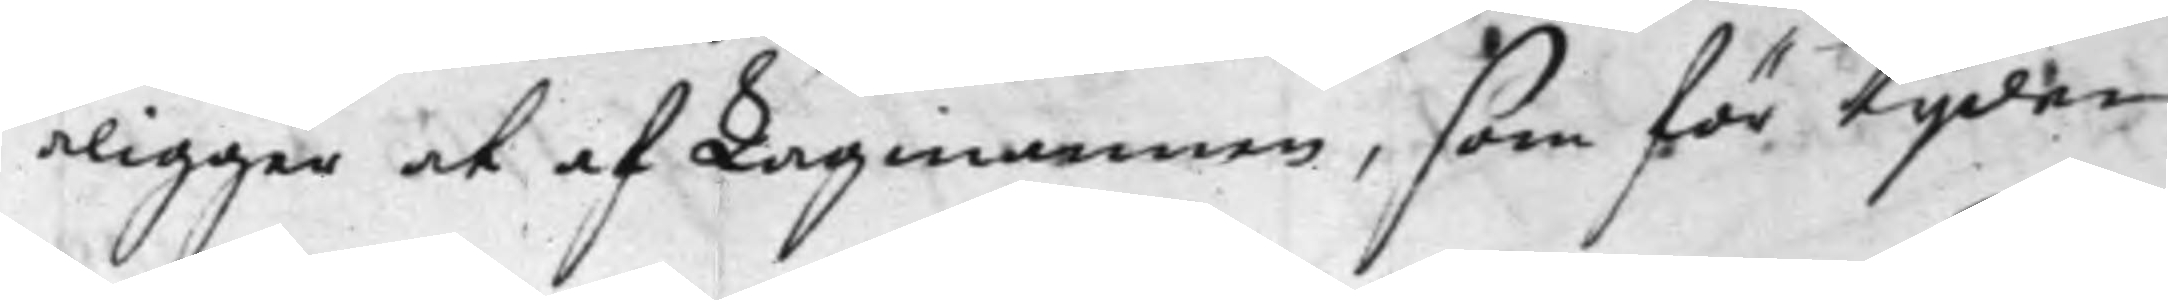åligger at af Lagmannen, som för tijden
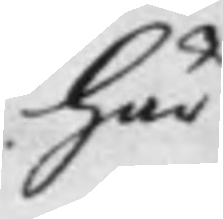här
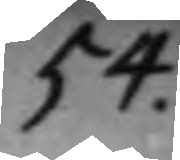54.
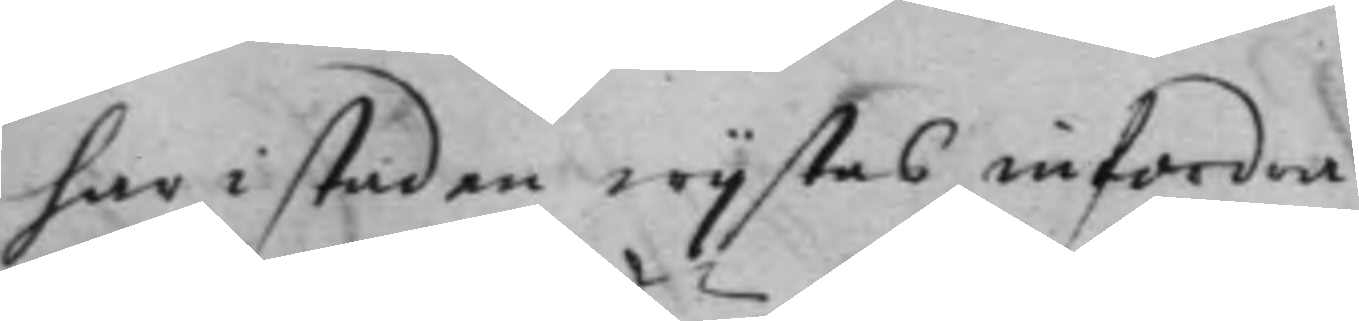har i staden wijstas infordra
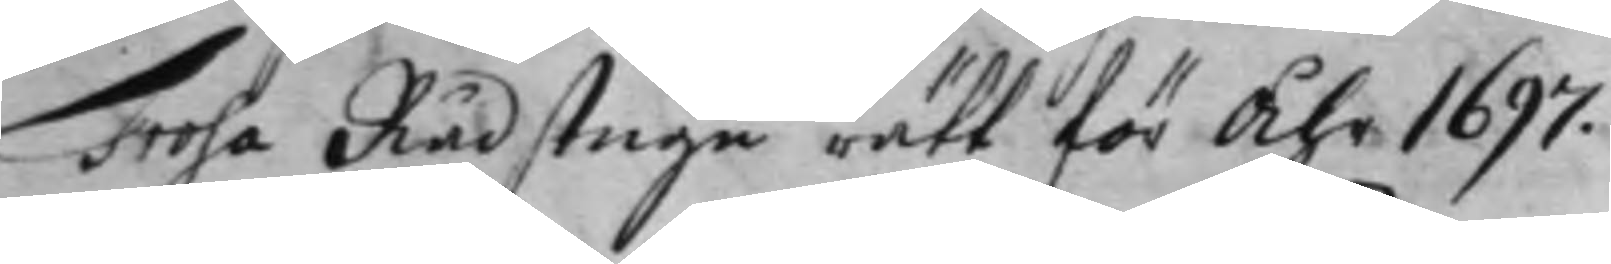Trosa Rådstugu rätt för Åhr 1697.
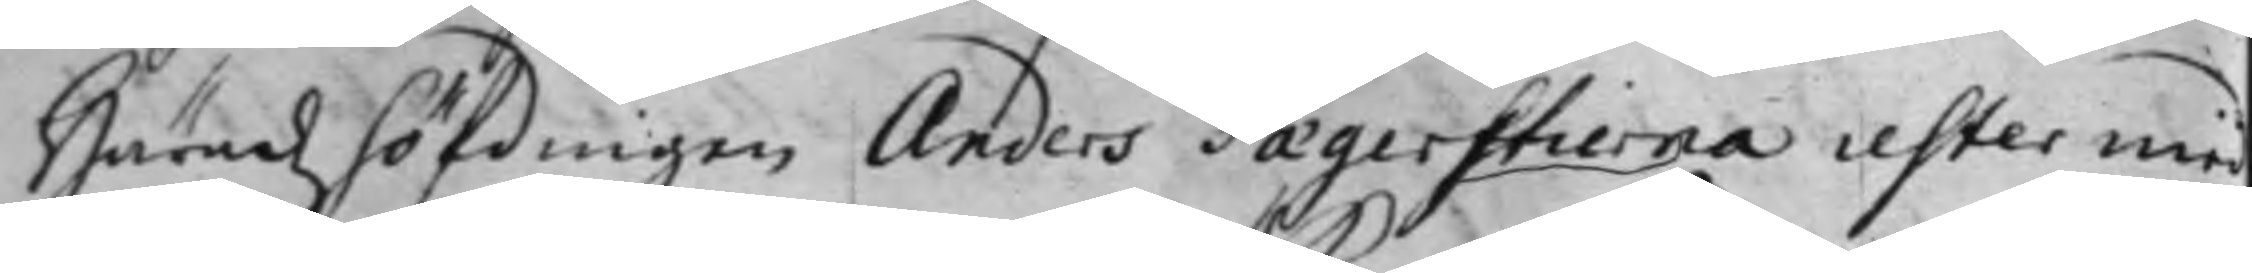Häradzhöfdingen Anders Faegerstierna rester med
